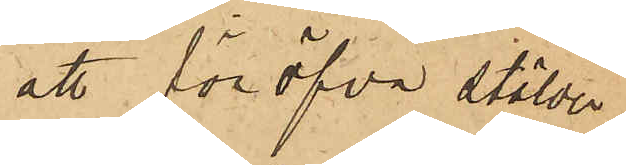att föröfva stölder
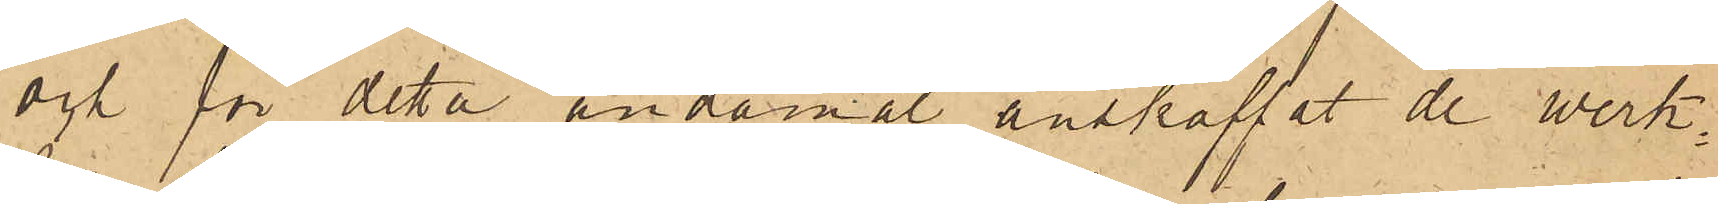och för detta ändamål anskaffat de werk¬
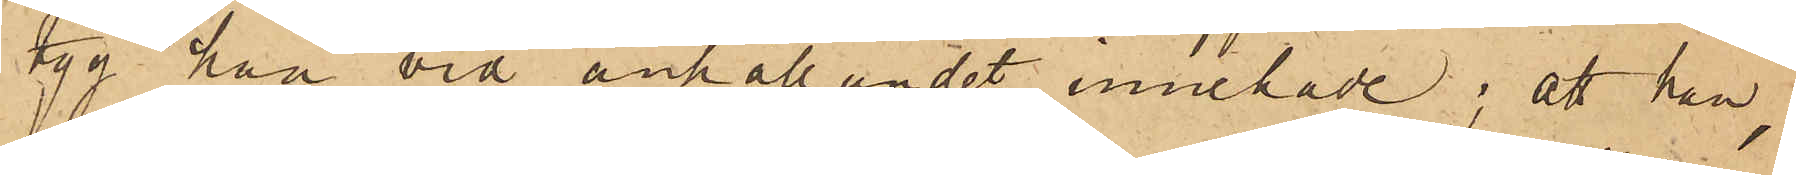tyg han vid anhållandet innehade; att han,
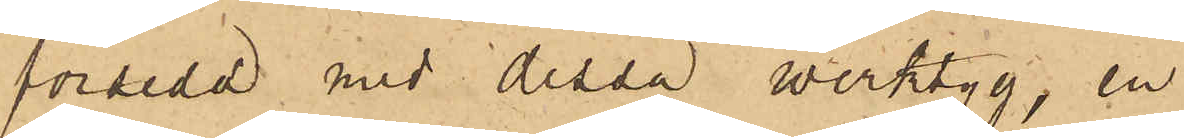försedd med dessa werktyg, en
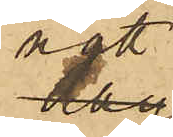natt
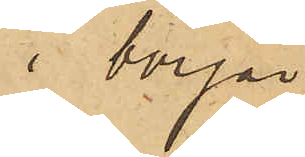i början
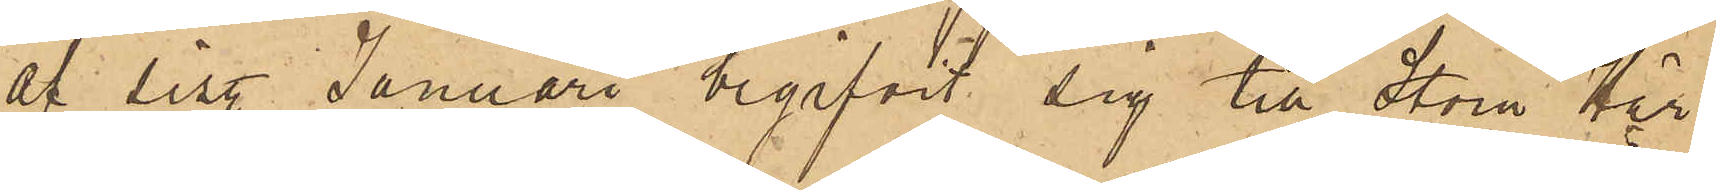af sist. Januari begifvit sig till Stora Här¬
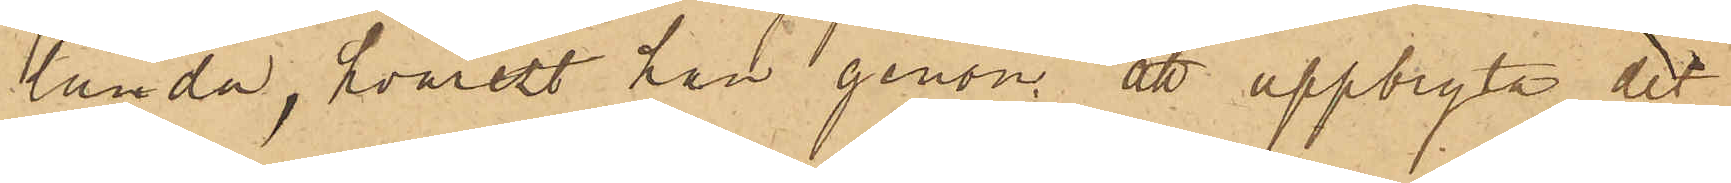landa, hvarest han genom att uppbryta det
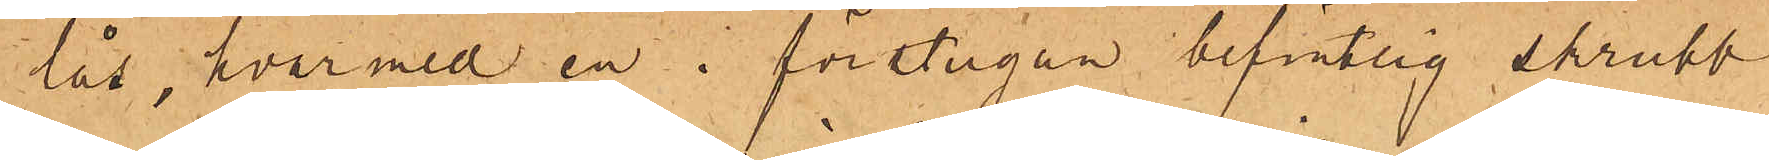lås, hvarmed en i förstugan befintlig skrubb
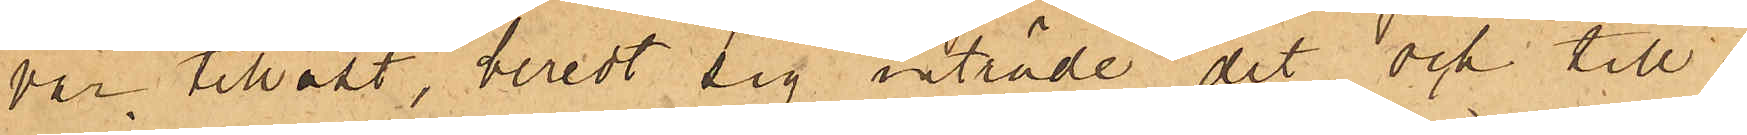var tillåst, beredt sig inträde dit och till¬
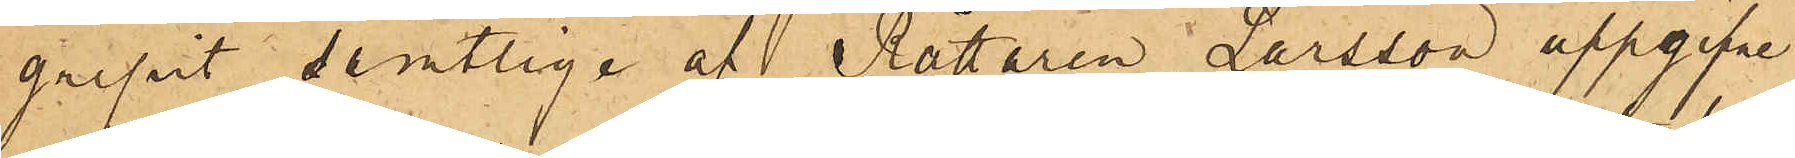gripit samtlige af Rättaren Larsson uppgifne
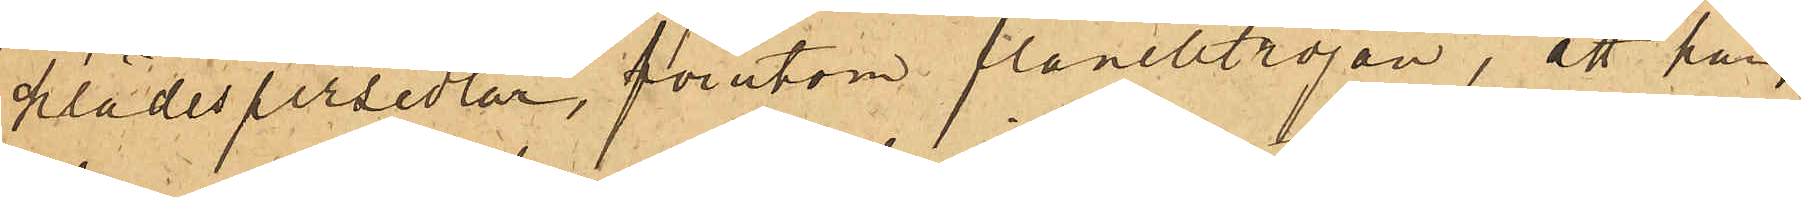klädespersedlar, förutom flanelltröjan; att han,
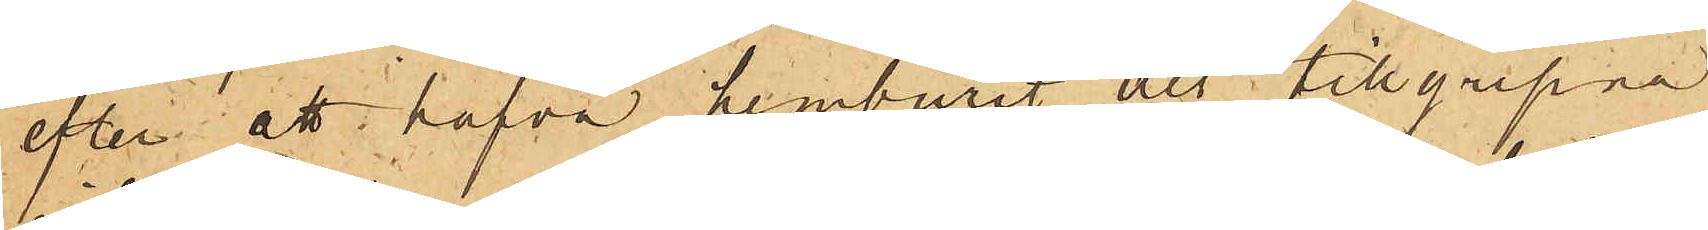efter att hafva hemburit det tillgripna,
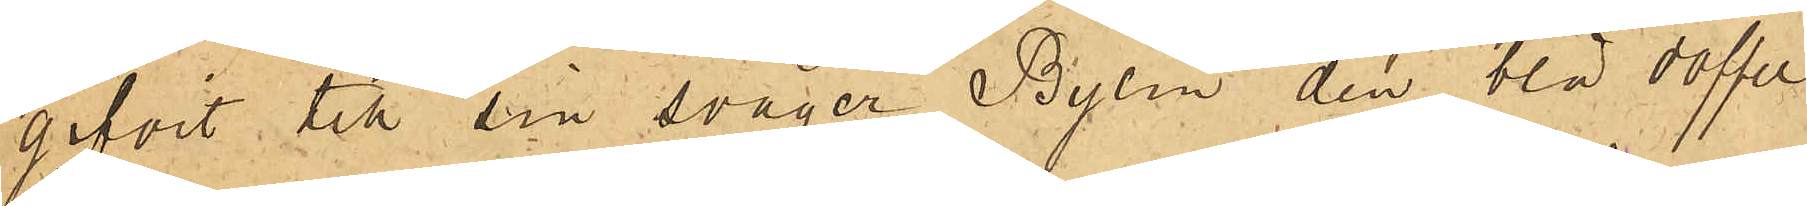gifvit till sin svåger Bylin den blå doffel¬
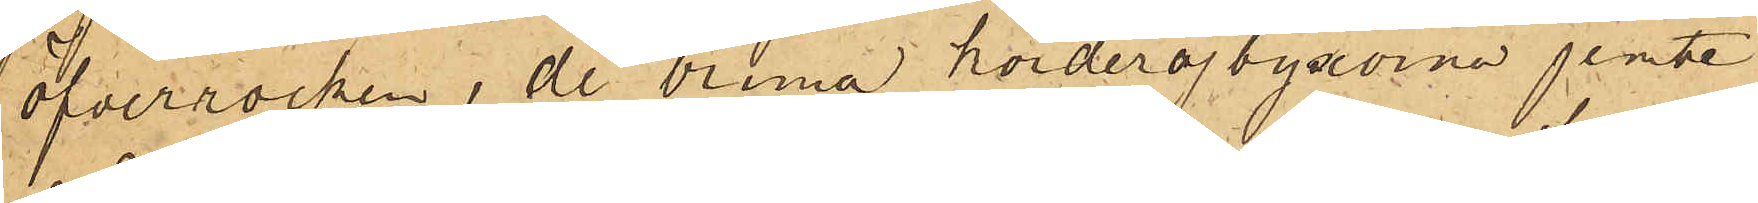öfverrocken, de bruna korderojbyxorna jemte
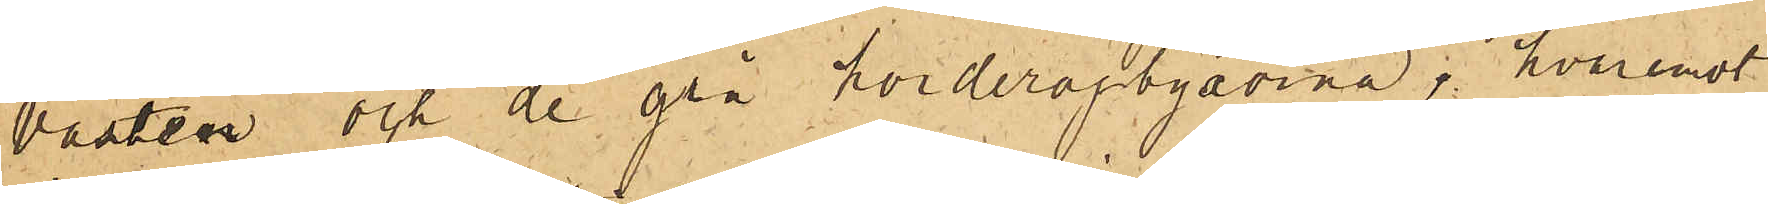västen och de grå korderojbyxorna; hvaremot
